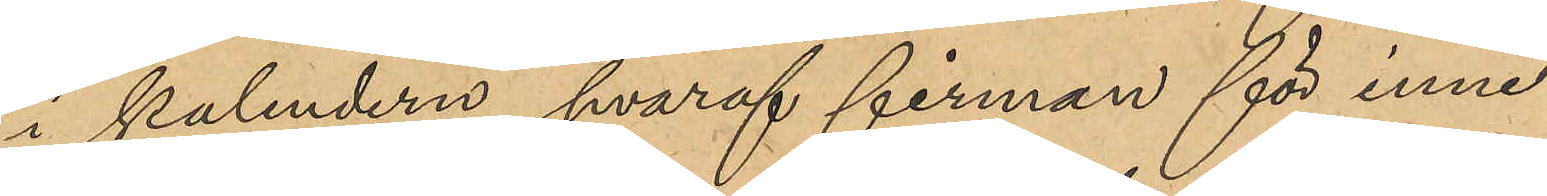i kalendern, hvaraf firman för inne¬
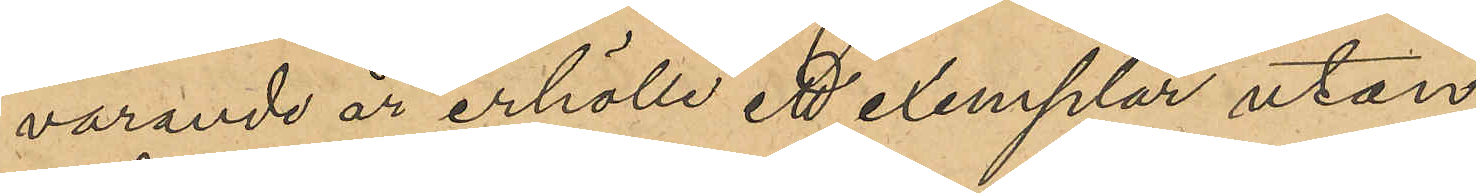varande år erhölle ett exemplar utan
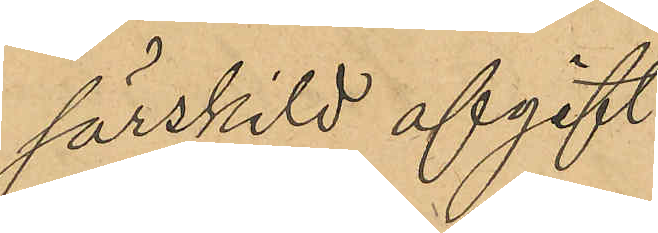särskild afgift
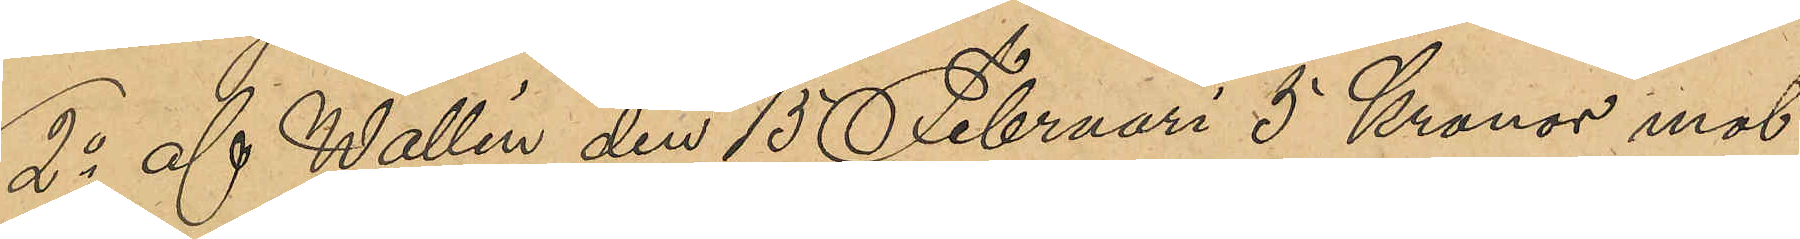2o af Wallin den 15 Februari 5 Kronor mot
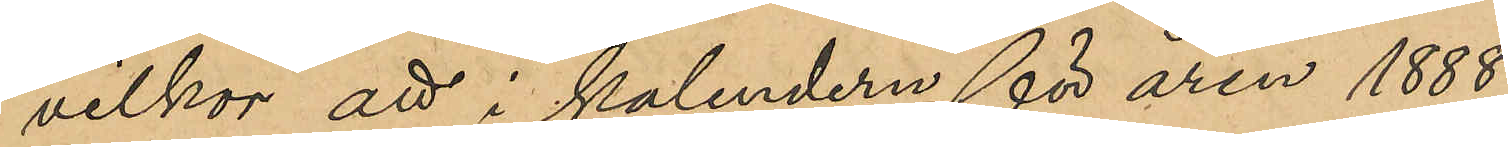vilkor att i kalenderna för åren 1888 -
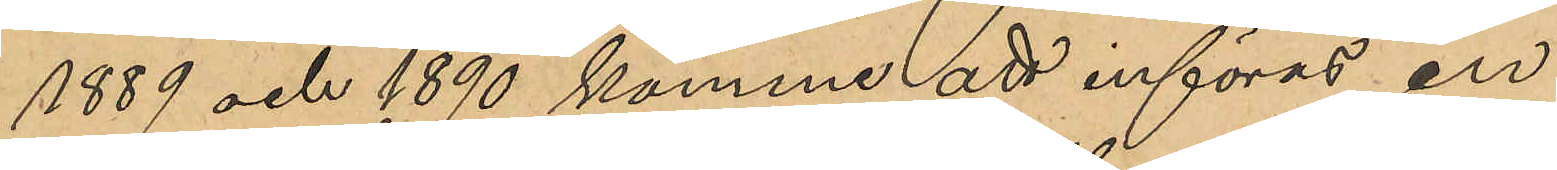1889 och 1890 komme att införas en
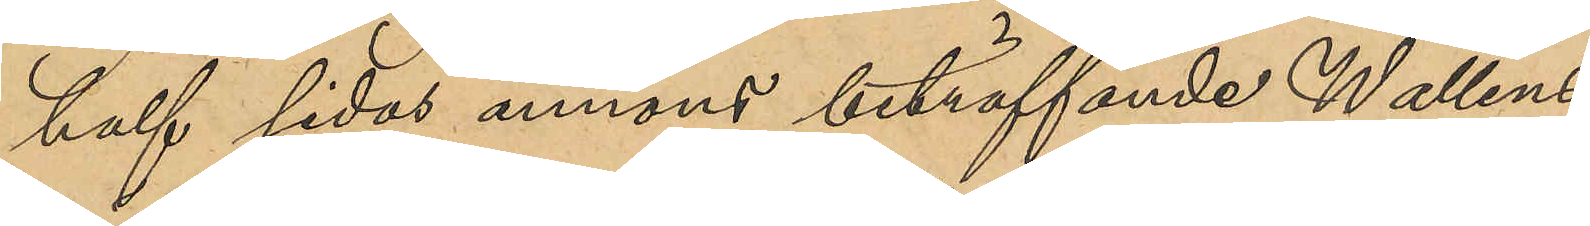half sidas annons beträffande Wallins
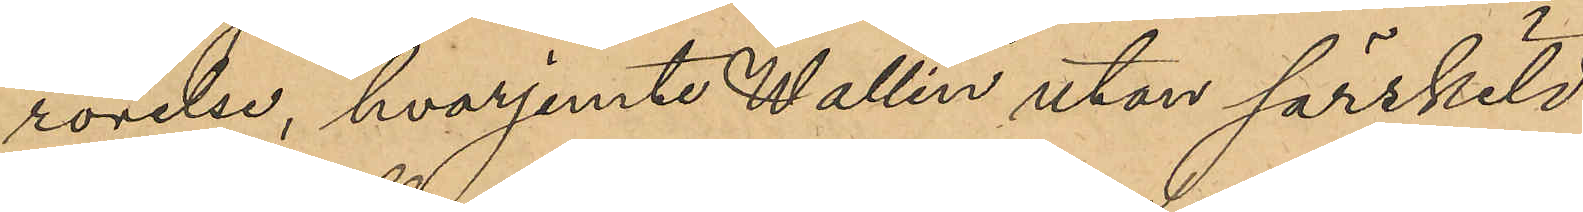rörelse, hvarjemte Wallin utan särskild
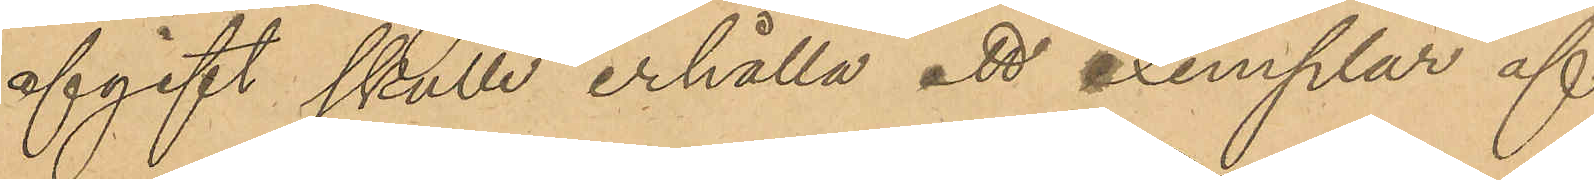afgift skulle erhålla ett exemplar af
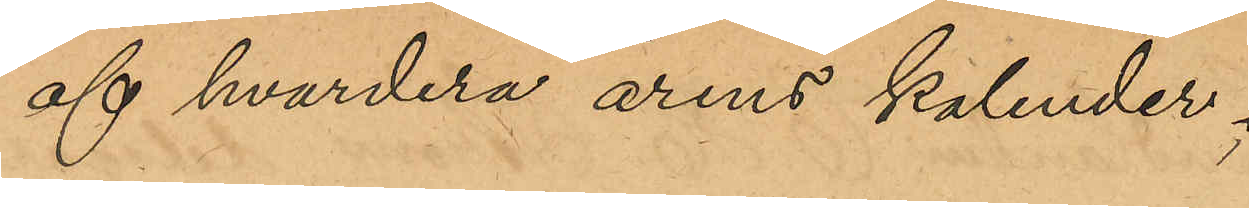af hvardera årens kalender;
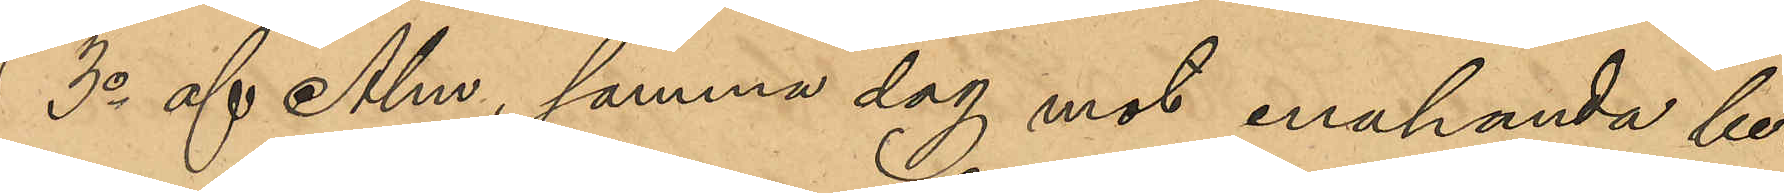3o af Alm samma dag mot enahanda be¬
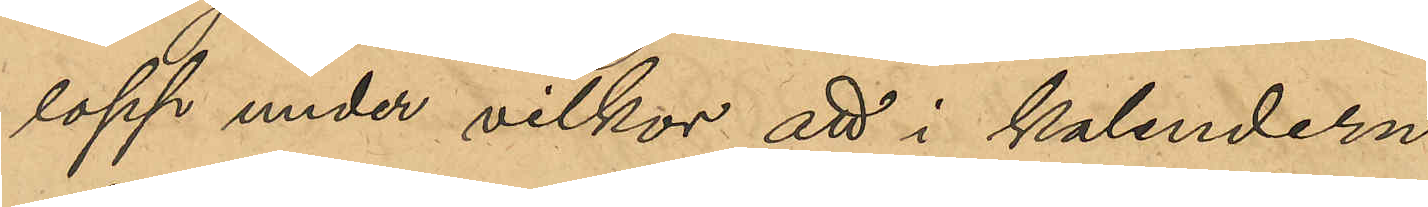lopp under villkor att i kalendern
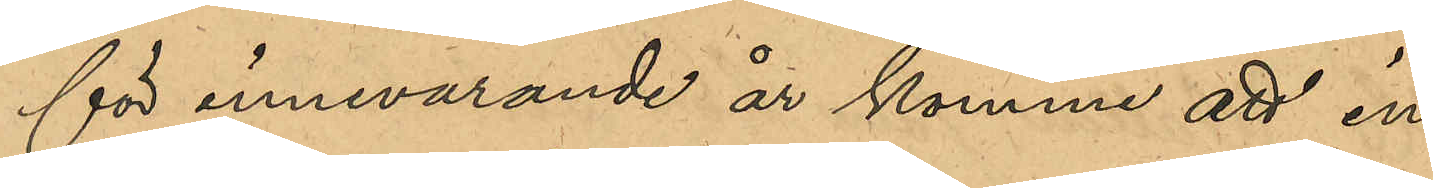för innevarande år komme att in¬
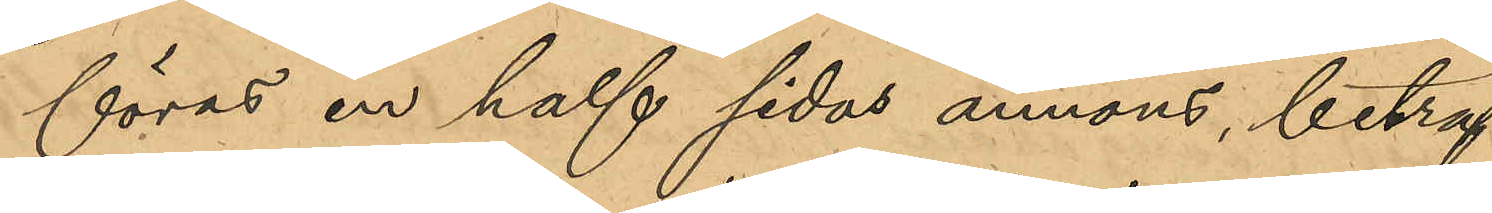föras en half sidas annons, beträf¬
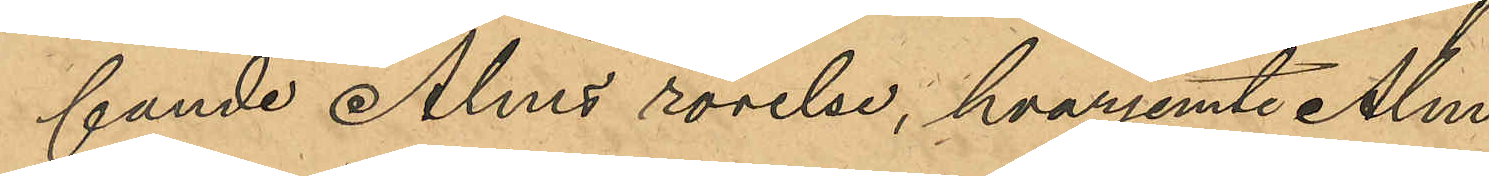fande Alms rörelse, hvarjemte Alm
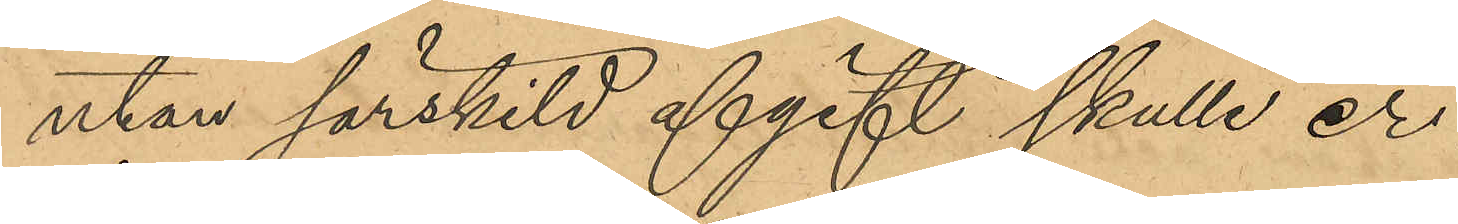utan särskild afgift skulle er¬
